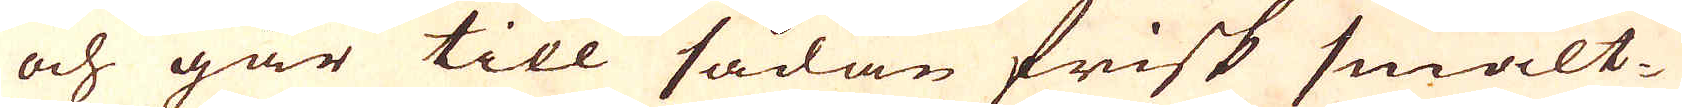och går till sådan frisk smält-
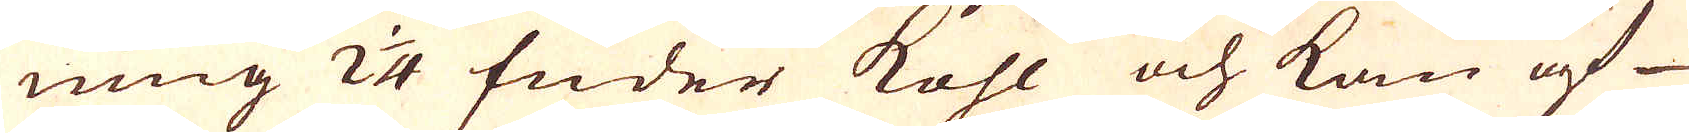ning 2 1/4 fuder kohl och kan af
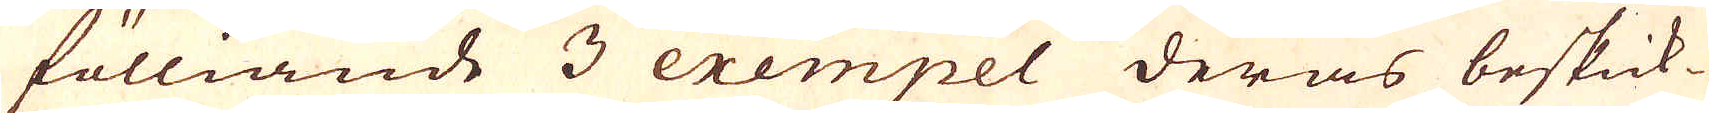fölliande 3 exempel deras beskick-
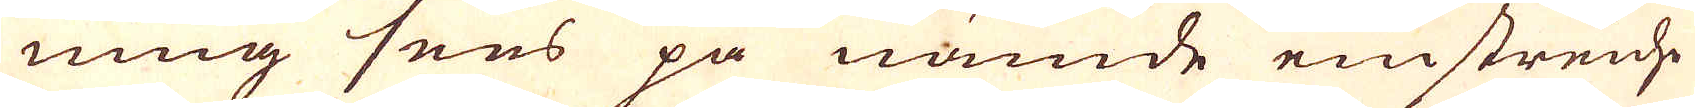ning sees på nämde einstreide
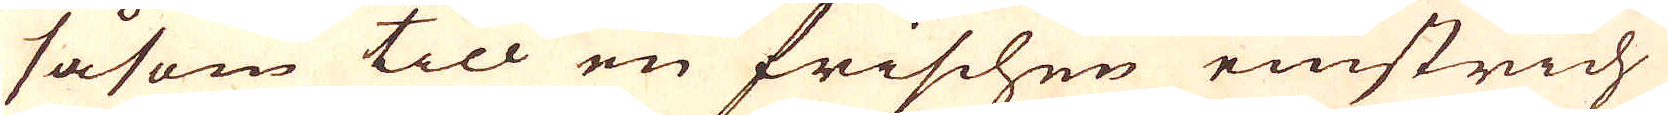såsom till en frischen einstrich
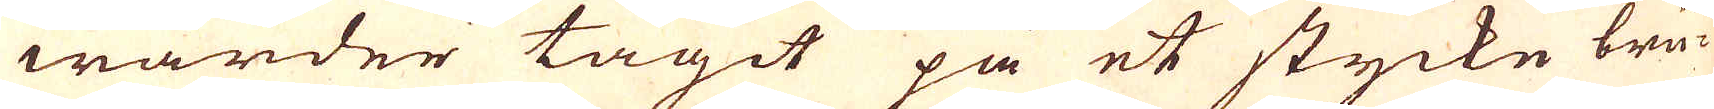warder tagit på et stycke bru-
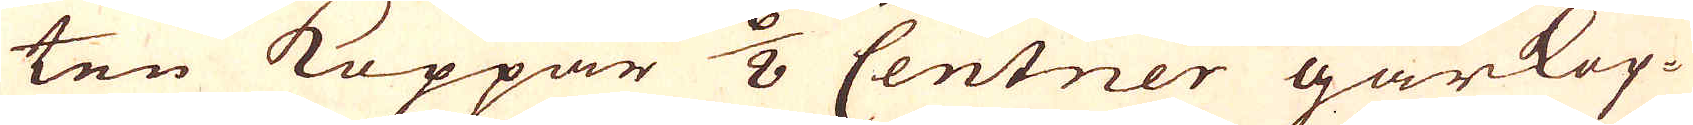ten Koppar 6/8 Centner gårkop-
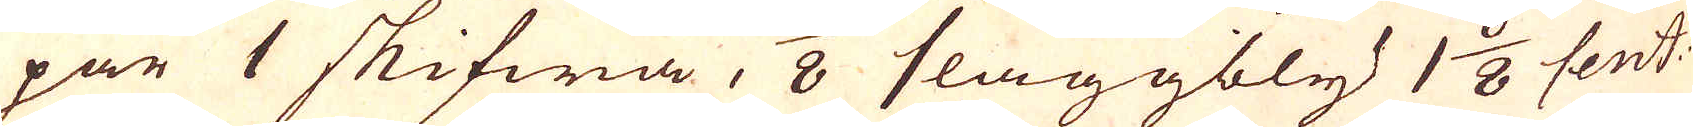par 1 skifwa, 1/8 slaggbly 1 6/8 cent:
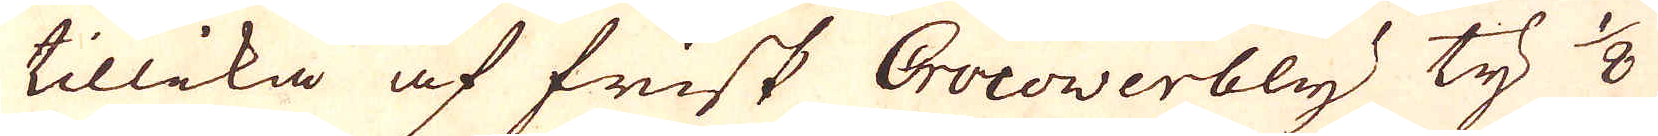tillika af frisk Crocoverbly ty 1/8
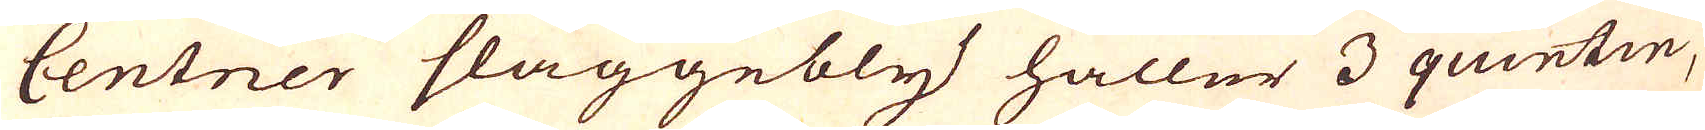Centner slaggebly håller 3 quintin,
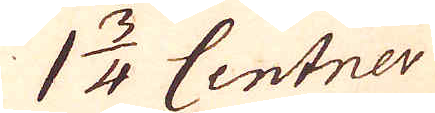1 3/4 Centner
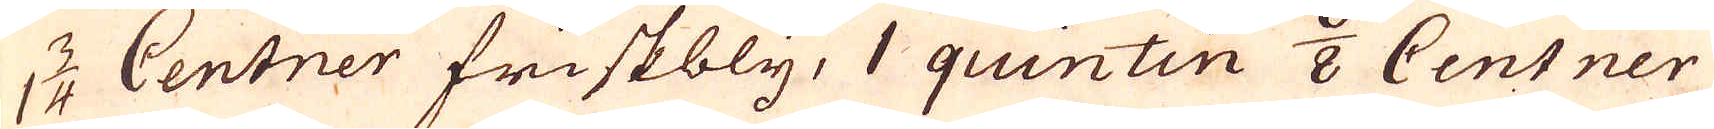1 3/4 Centner friskbly, 1 quintin 6/8 Centner
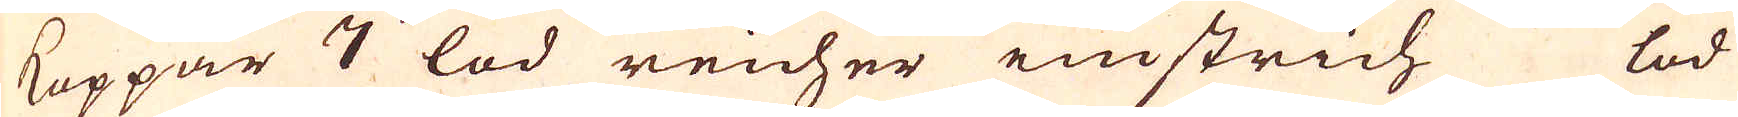Koppar 7 lod reicher enstrich lod
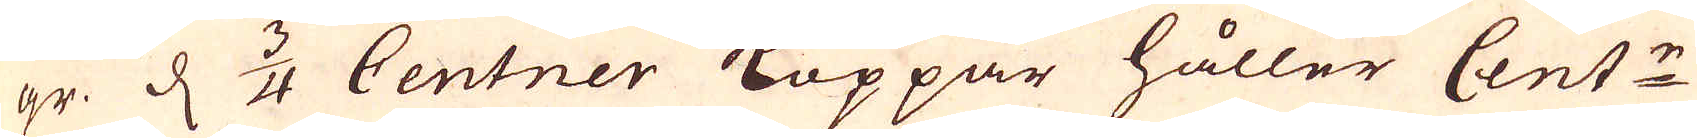gr d 3/4 Centner Koppar håller Cent:r
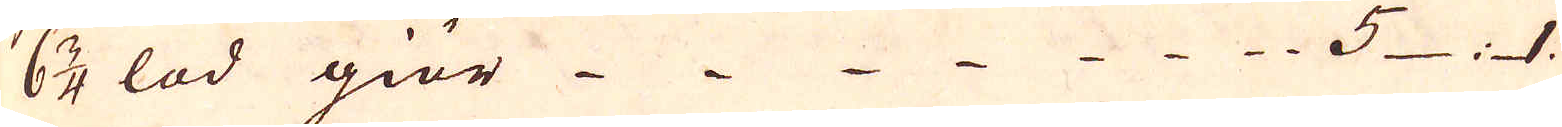6 3/4 lod giör 5 : 1.
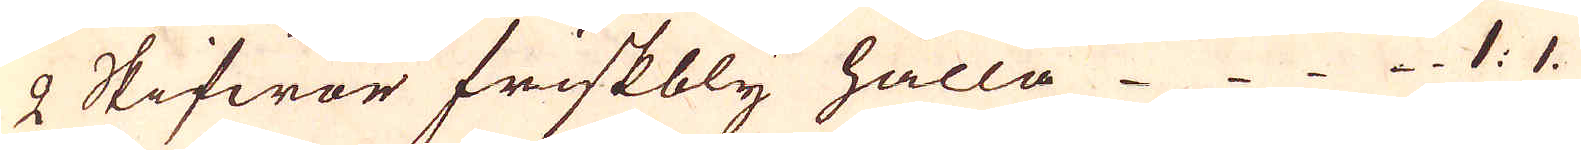2 Skifwor friskbly hålla 1: 1.
